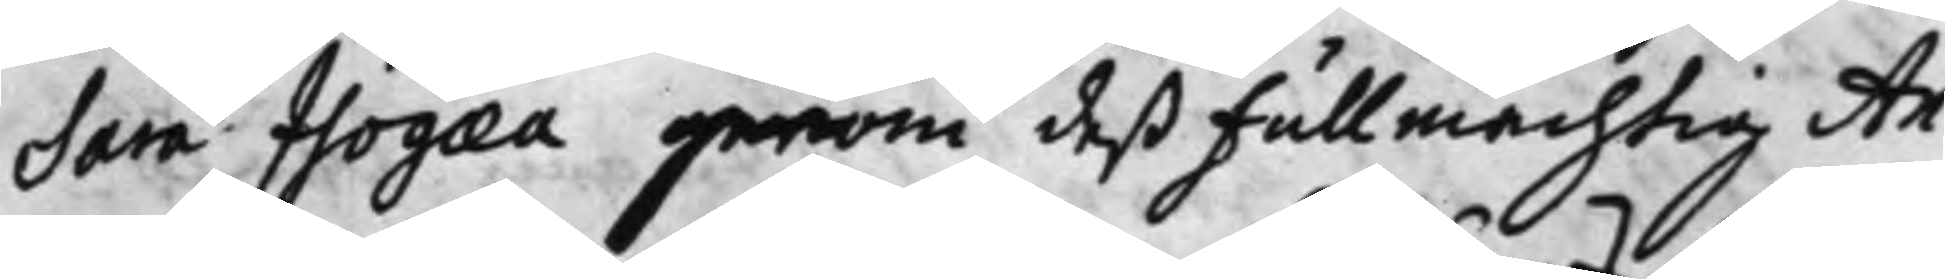Sara Isogaea genom deß Fullmächtig An¬
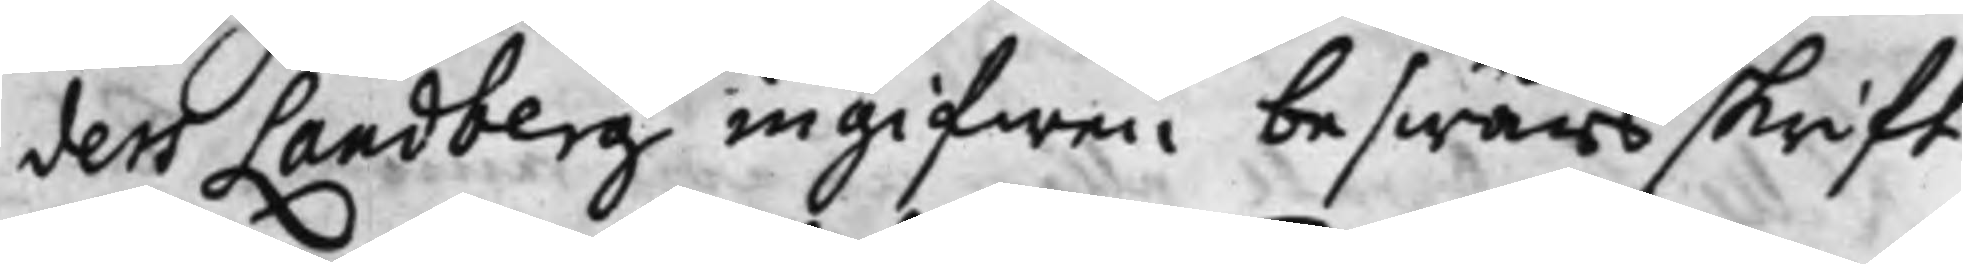ders Landberg ingifwen beswärsskrift
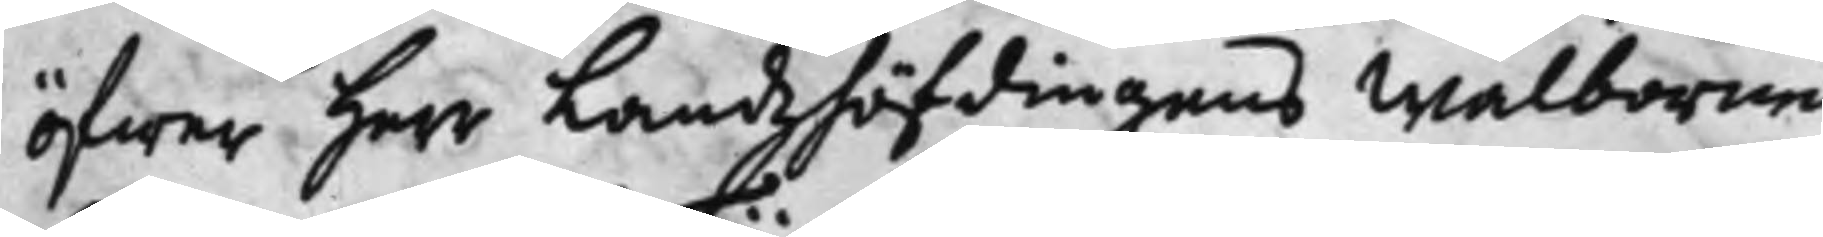öfwer Herr Landzhöfdingens Wälborne
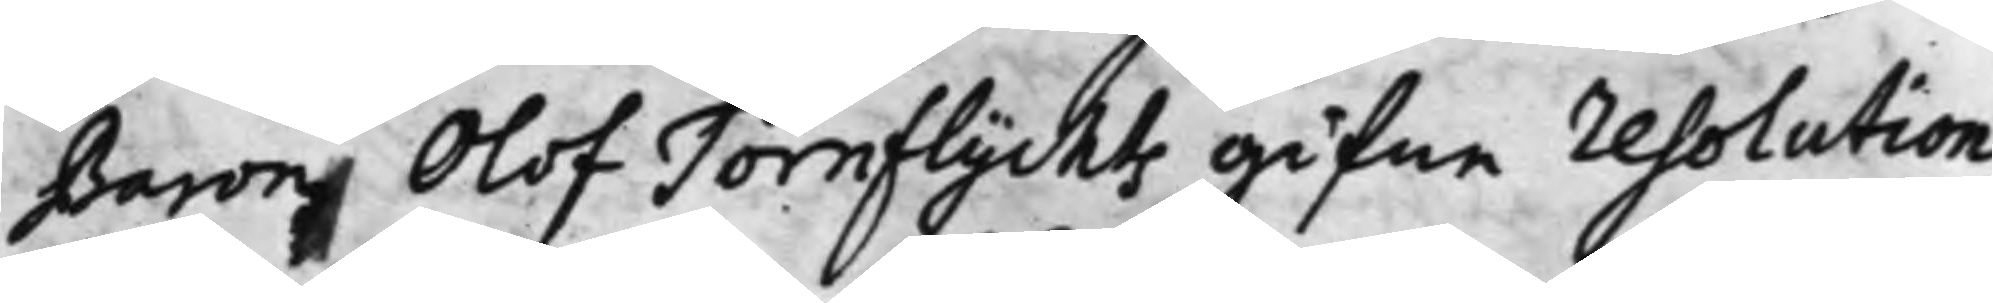Baron Olof Törnflychts gifne resolution
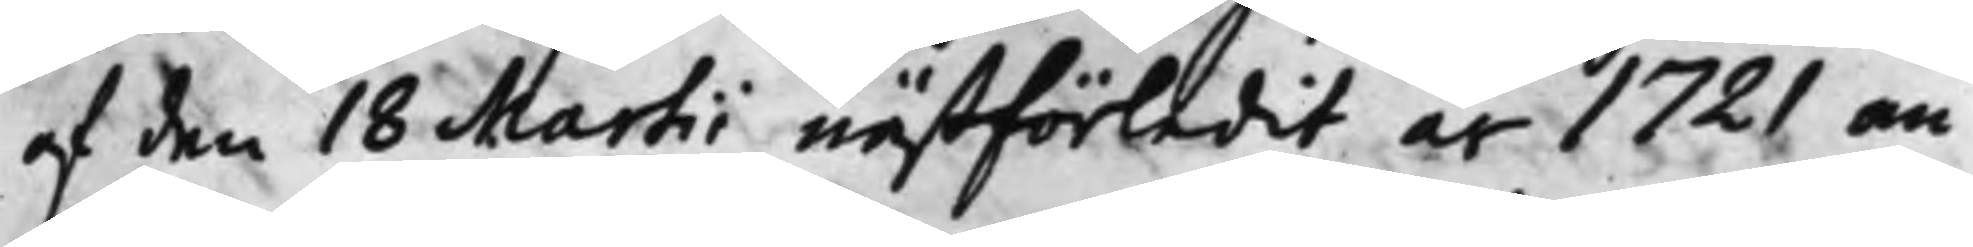af den 18 Martii nästförledit år 1721 an¬
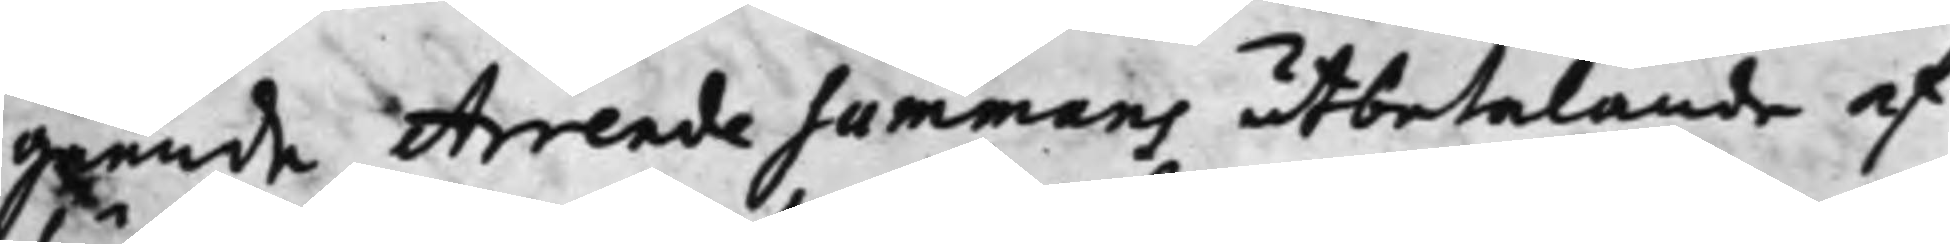gående Arrende Summans utbetalande af
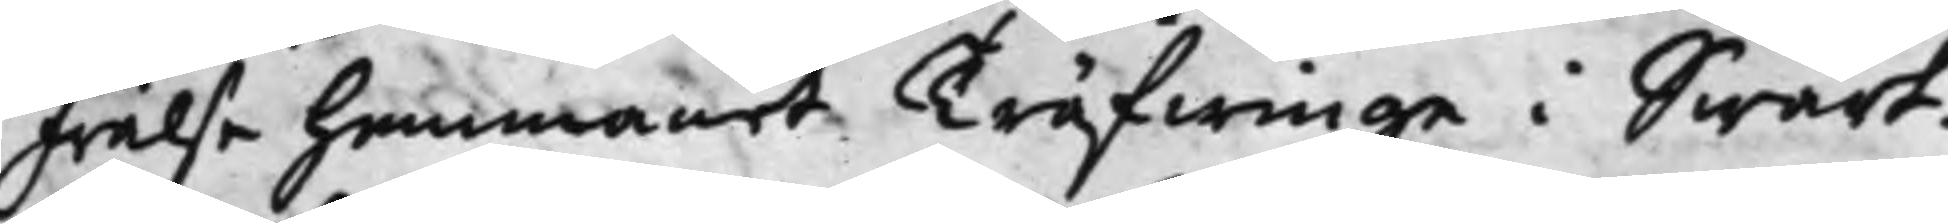Frälse hemmanet Träfwinge i Swart¬
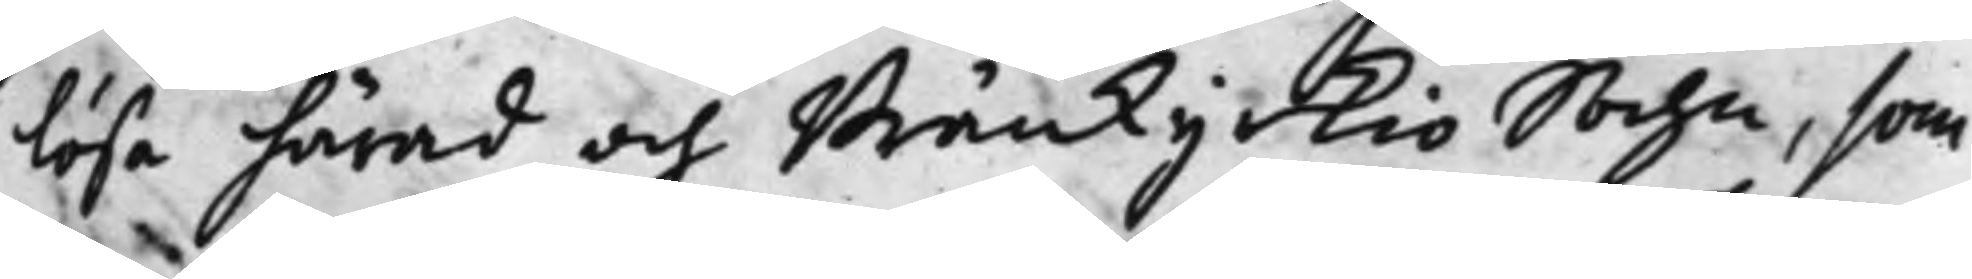lösa härad och Bränkykio Sochn, som
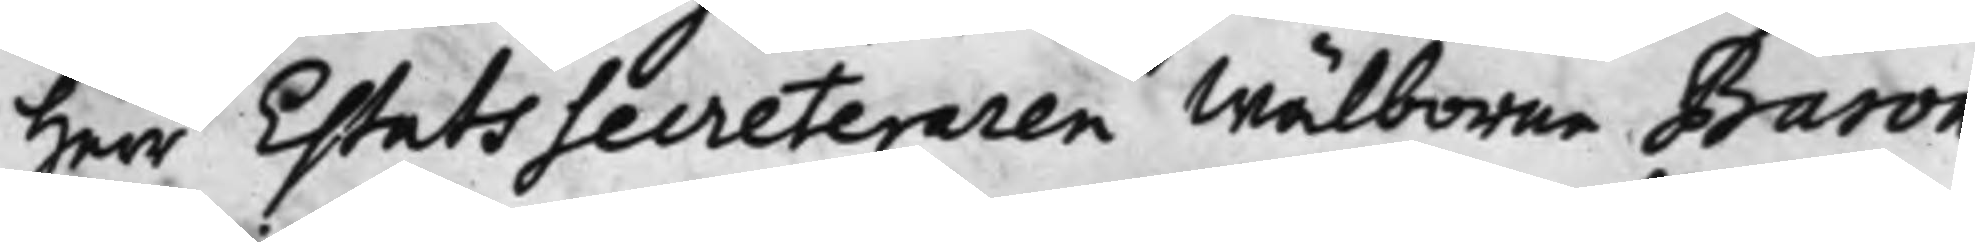Herr Estats Secreteraren Wälborne Baron
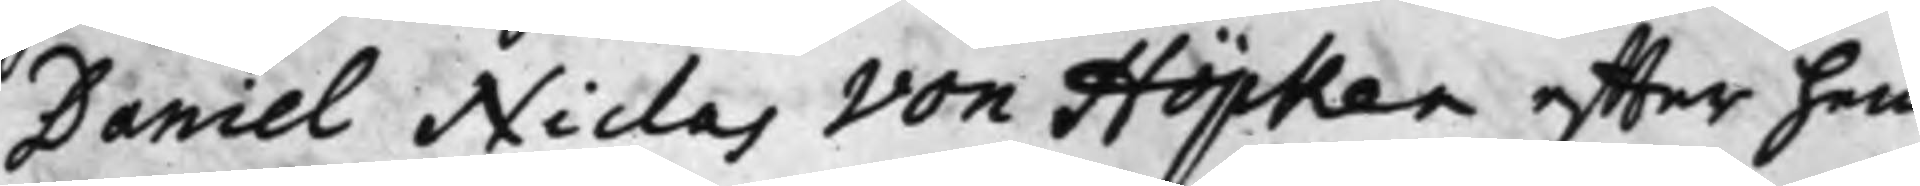Daniel Niclas von Höpken, effter hen¬
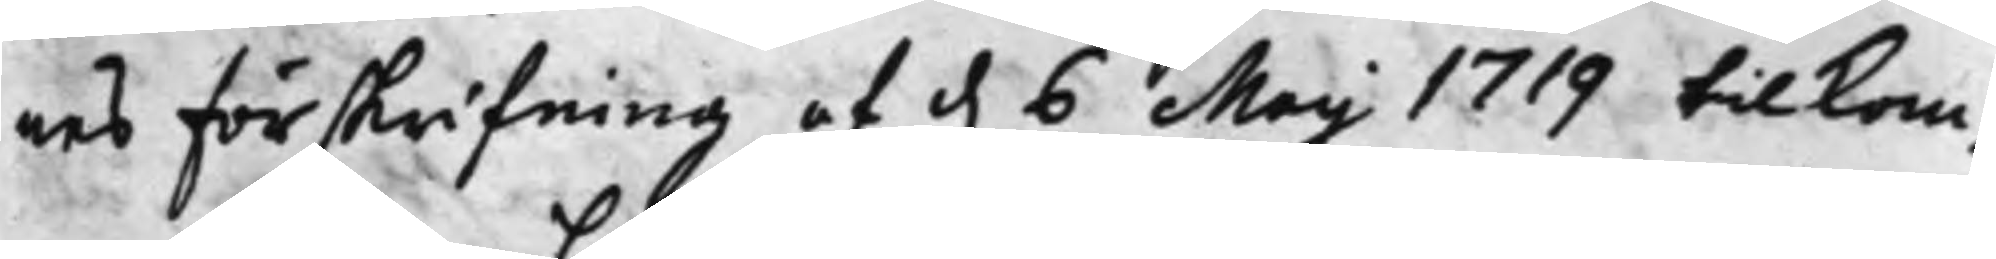nes förskrifning af d. 6 Maij 1719 tilkom¬ 
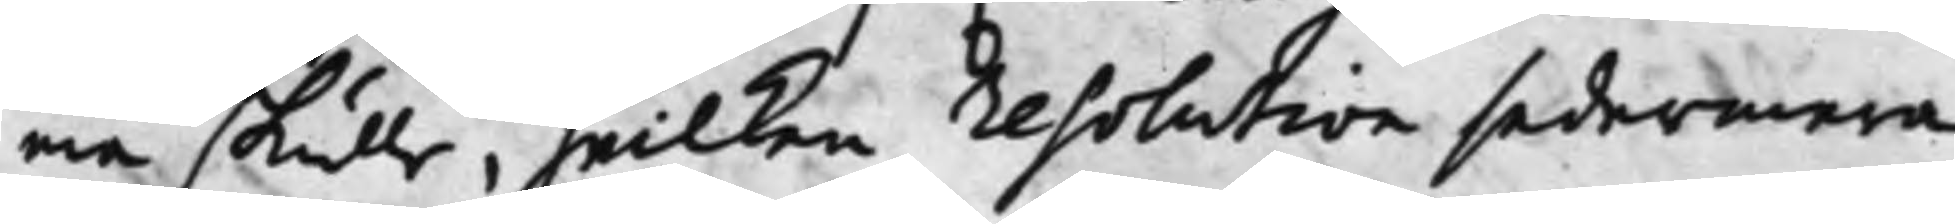ma skulle, hwilken resolution sedermera
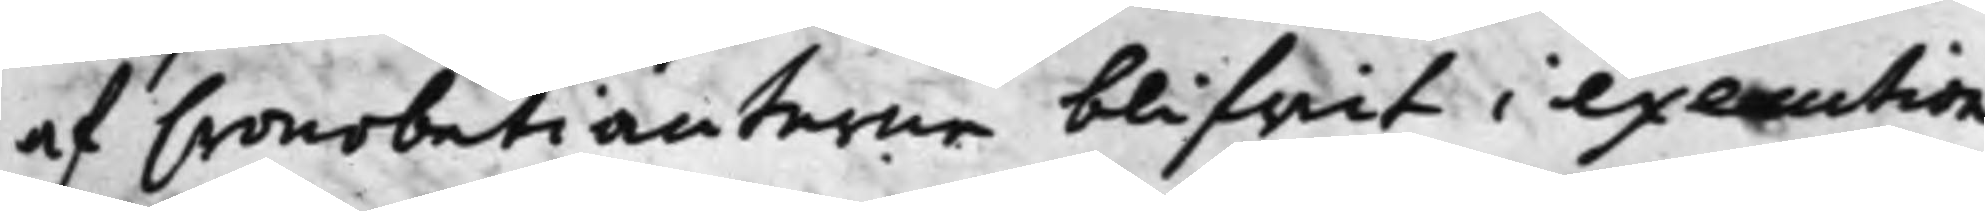af Cronobetiänterne blifwit i execution
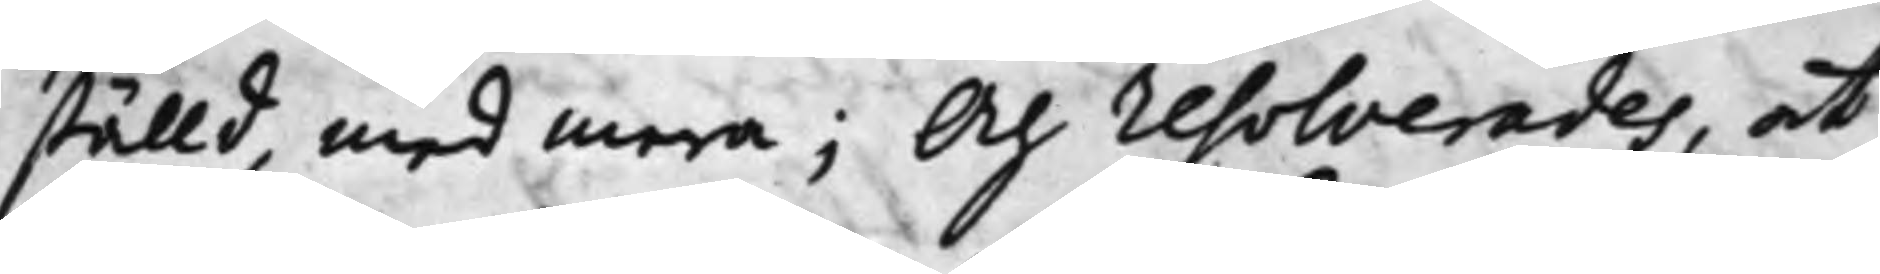ställd, med mera; Och resolverades, at
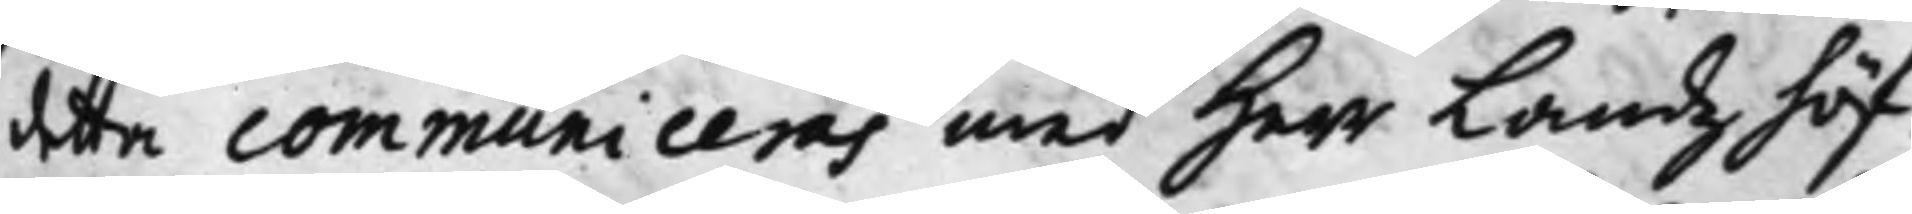detta communiceras med Herr Landzhöf¬
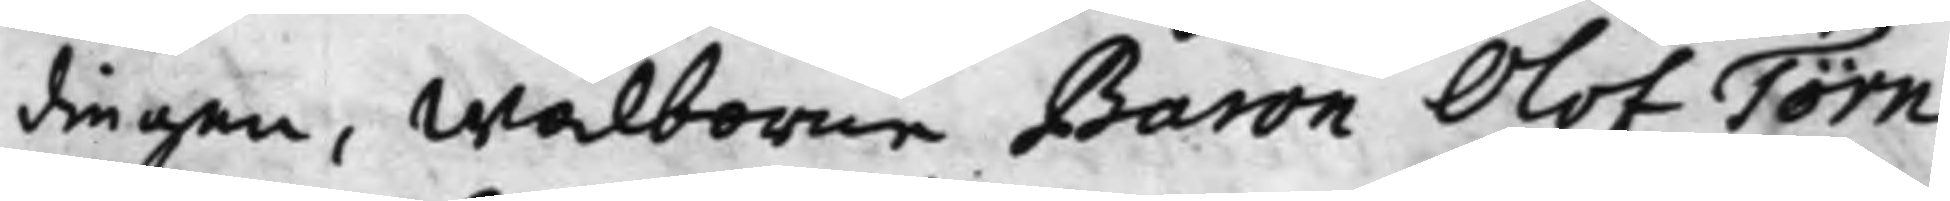dingen, Wälborne Baron Olof Törn¬
